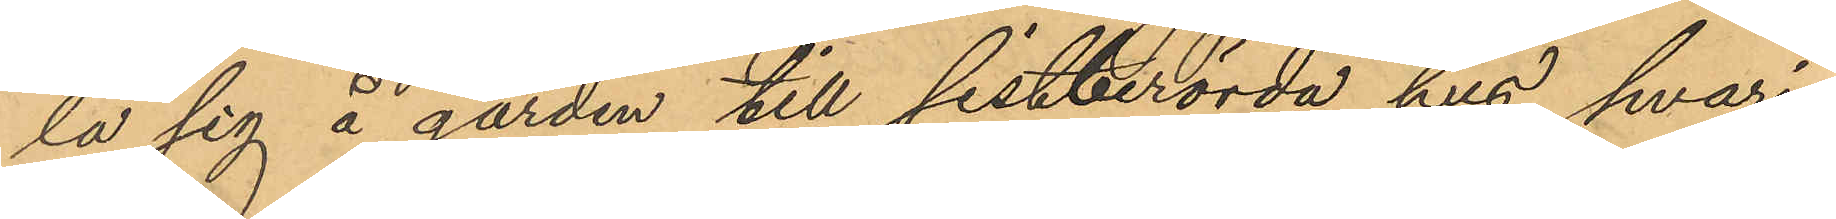la sig å gården till sistberörda hus, hvari¬
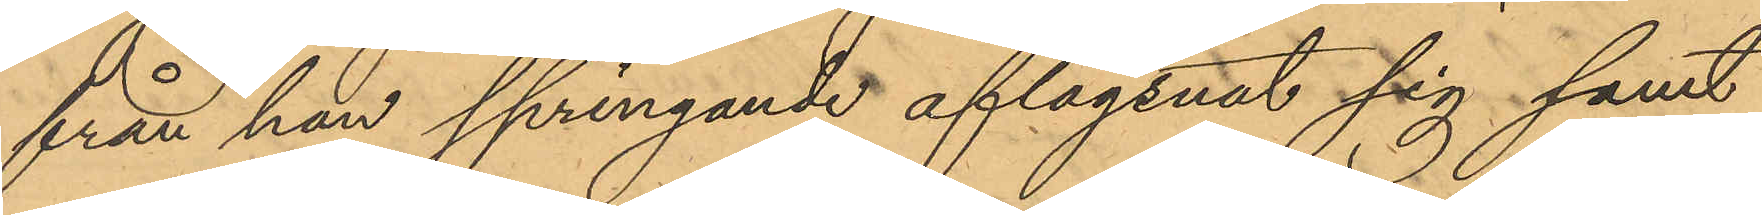från han springande aflägsnat sig samt
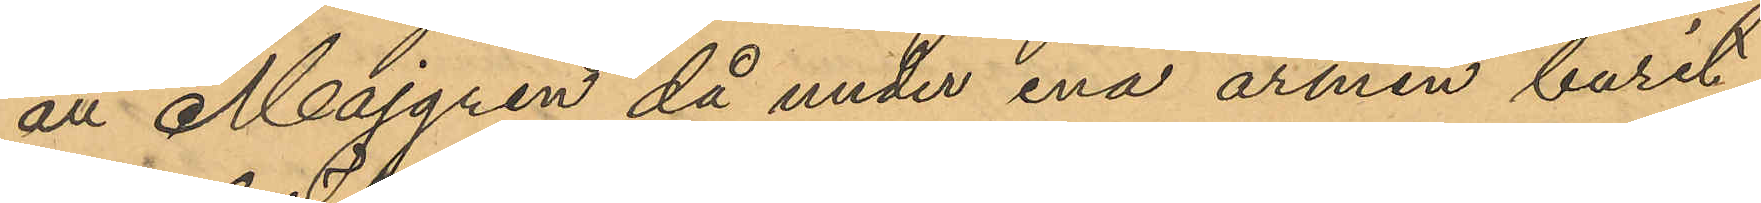att Majgren då under ena armen burit
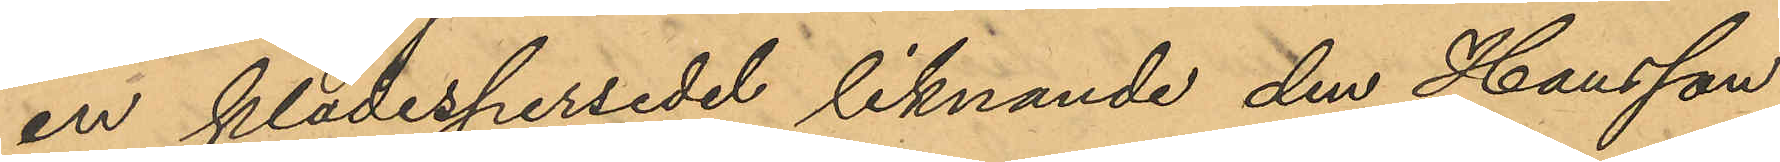en klädespersedel liknande den Hansson
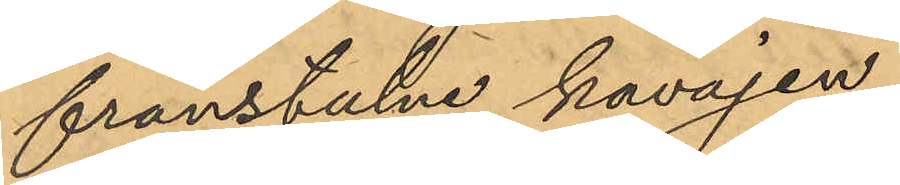frånstulne kavajen.
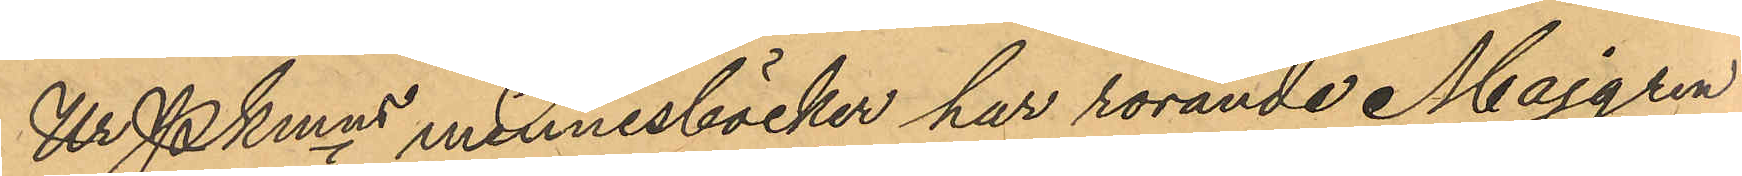Ur Pkmns minnesböcker har rörande Majgren
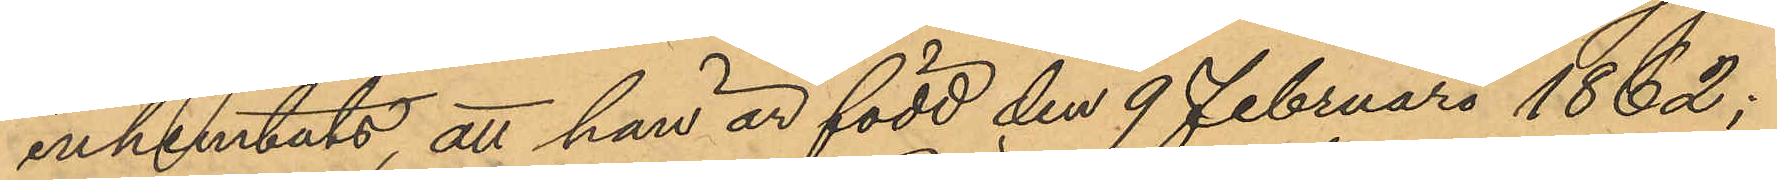inhemtats att han är född den 9 Februari 1862;
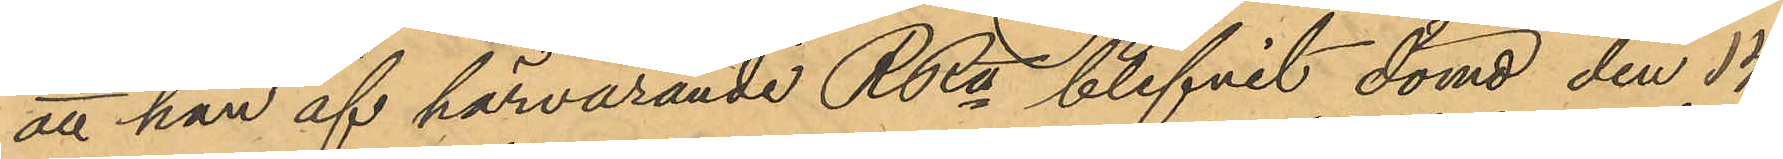att han af härvarande RRtt blifvit dömd den 14
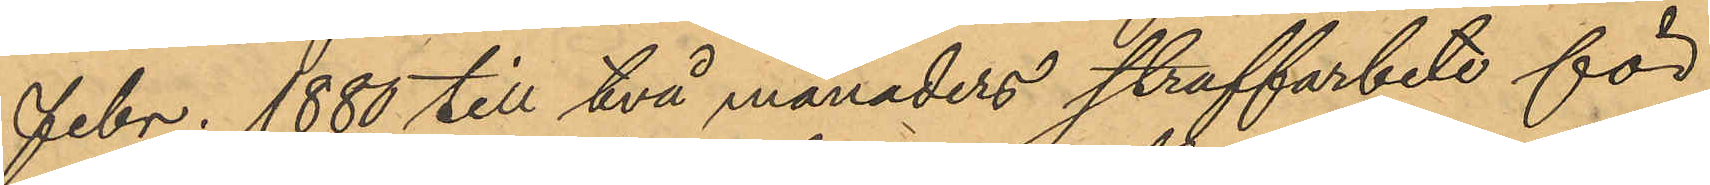Febr. 1880 till två månaders straffarbete för
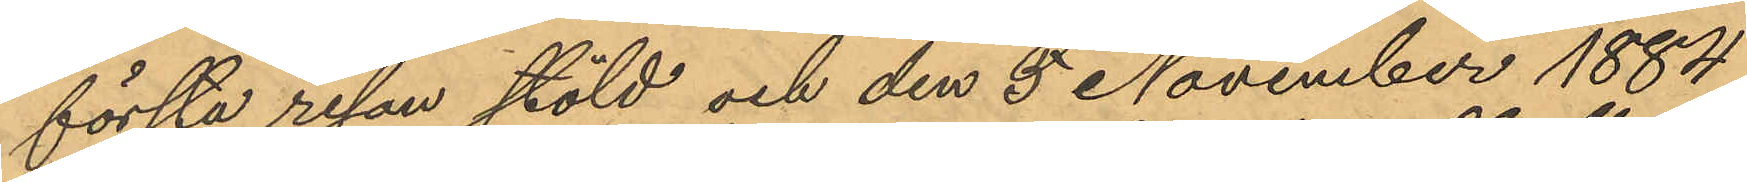första resan stöld och den 5 November 1884
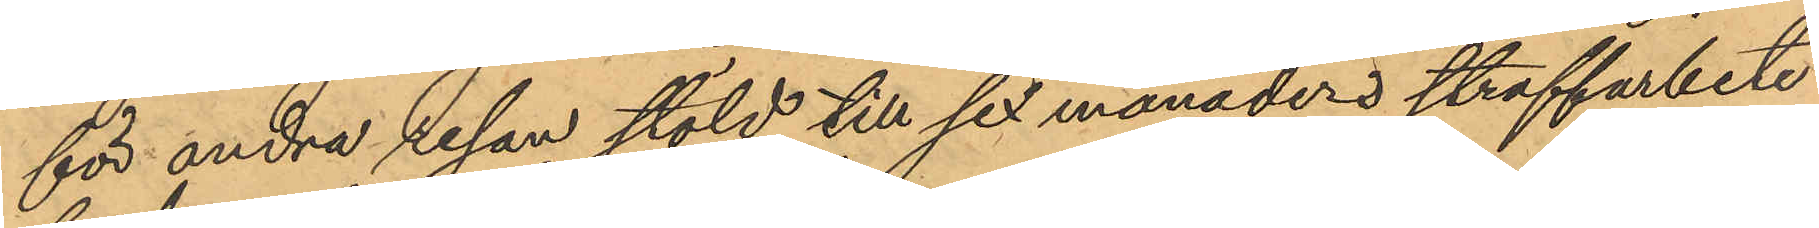för andra resan stöld till sex månaders straffarbete
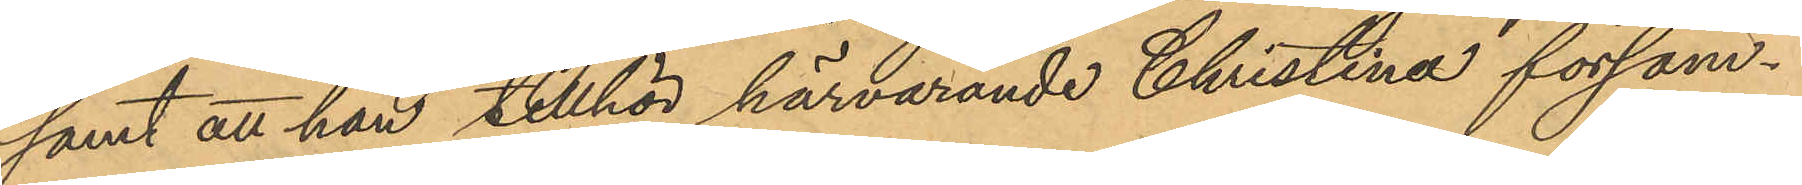samt att han tillhör härvarande Christina försam¬
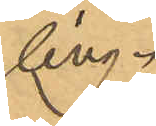ling.
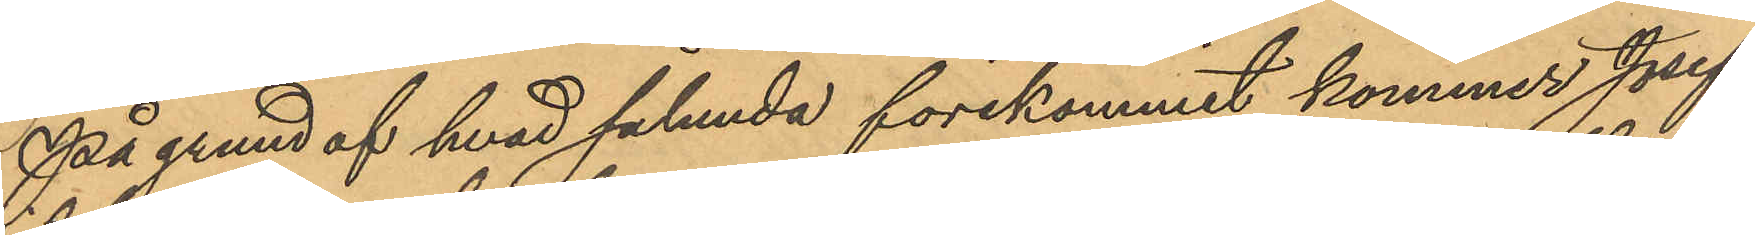På grund af hvad sålunda förekommit kommer Josef
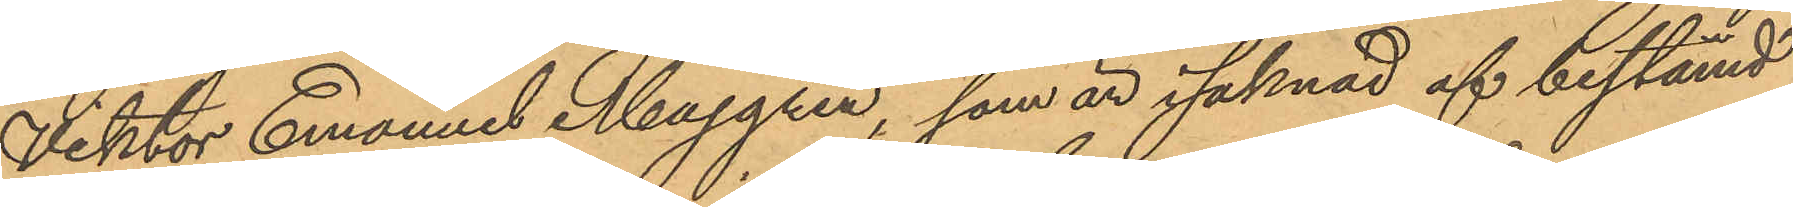Viktor Emanuel Majgren, som är i saknad af bestämd
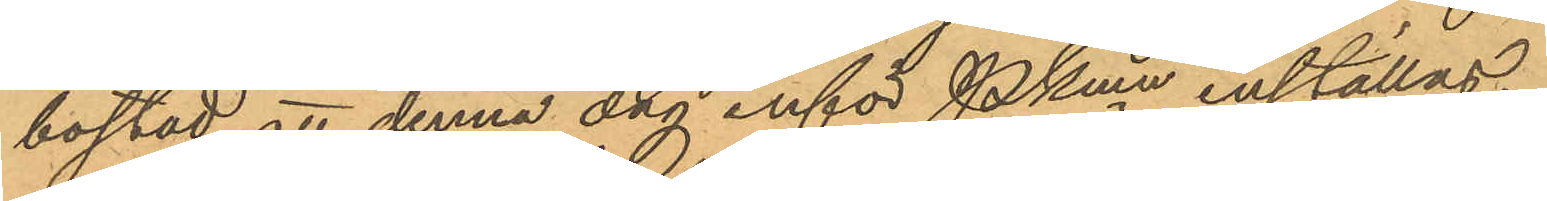bostad att denna dag inför Pkmn inställas.
